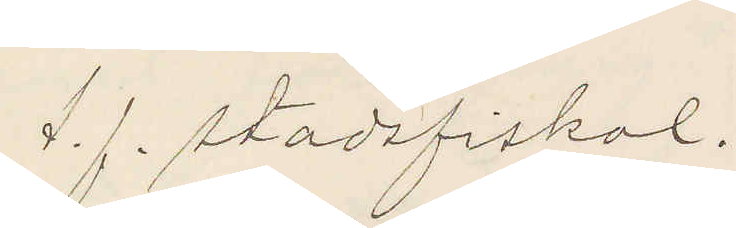t. f. stadsfiskal
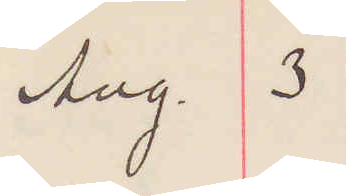Aug. 3
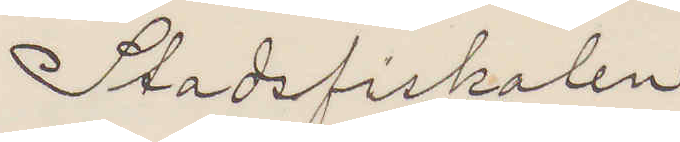Stadsfiskalen
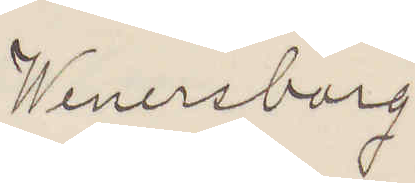Wenersborg
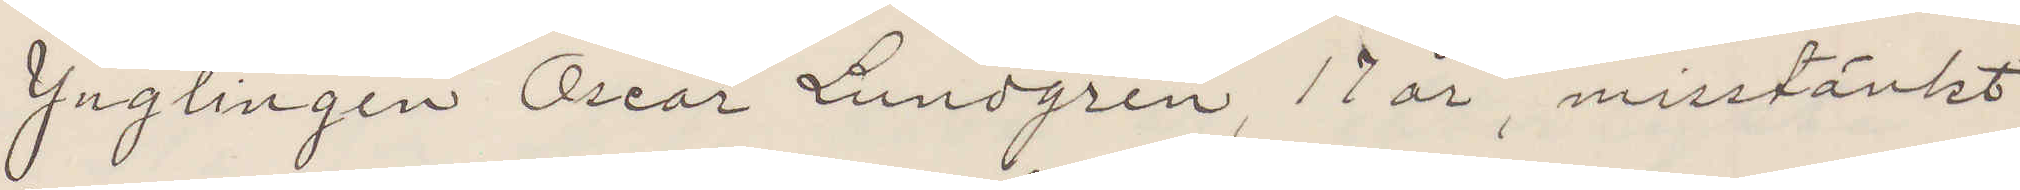Ynglingen Oscar Lundgren, 17 år, misstänkt
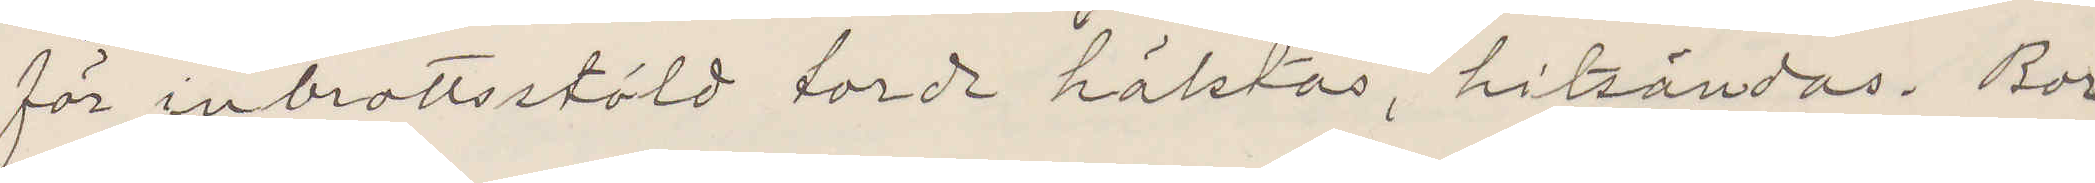för inbrottsstöld torde häktas, hitsändas. Bor
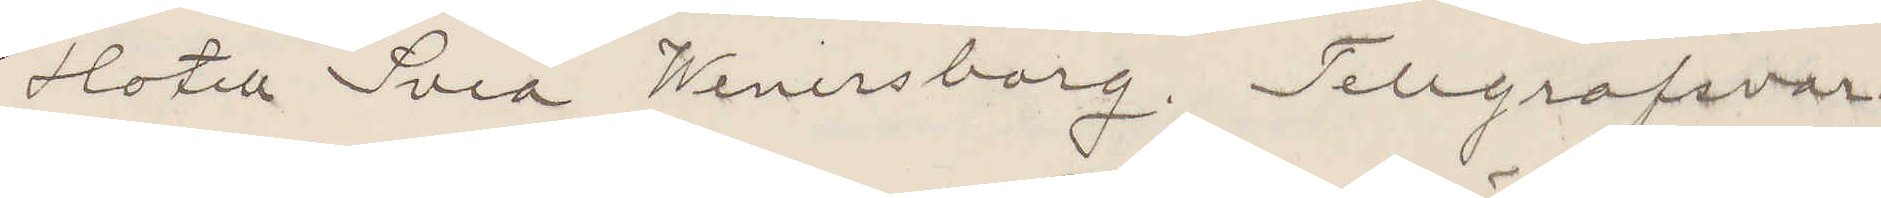Hotell Svea Wenersborg. Telegrafsvar.
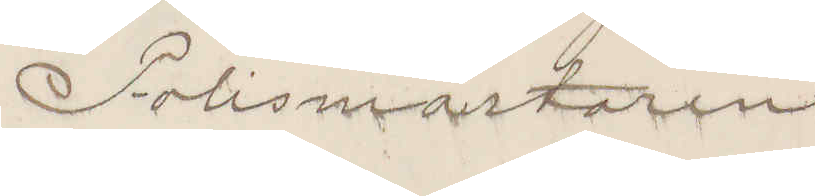Polismästaren
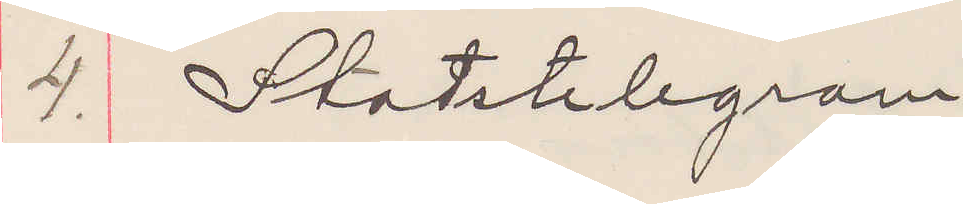4. Statstelegram
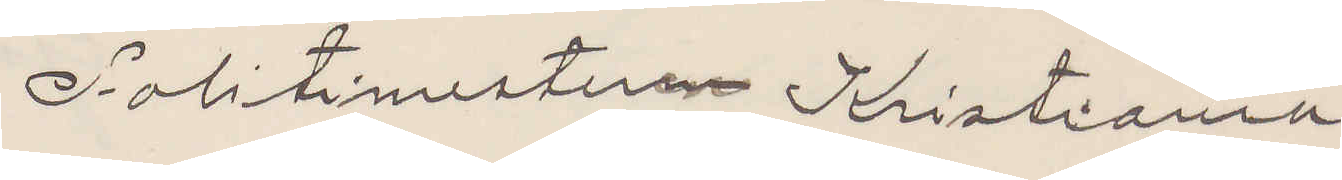Politimesteren Kristiania
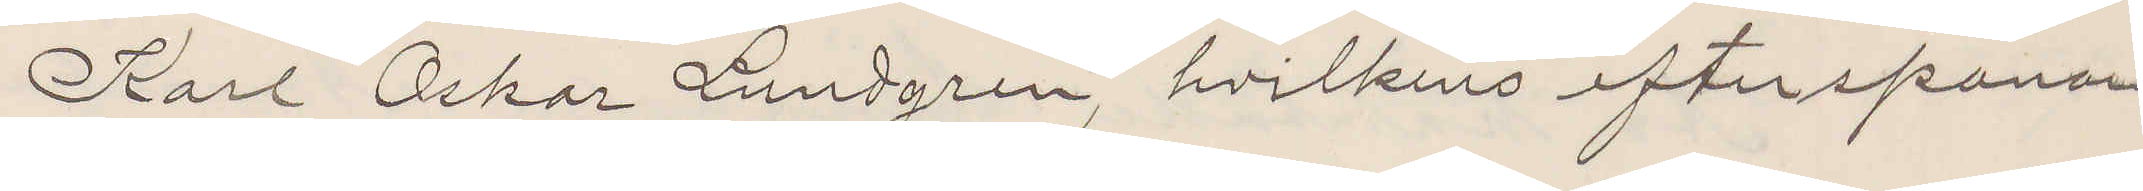Karl Oskar Lundgren, hvilkens efterspanan¬
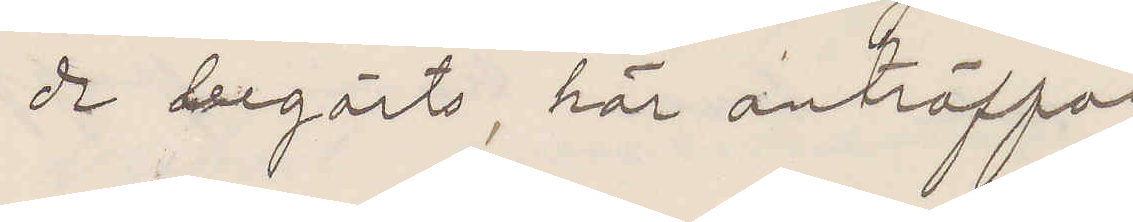de begärts, här anträffad
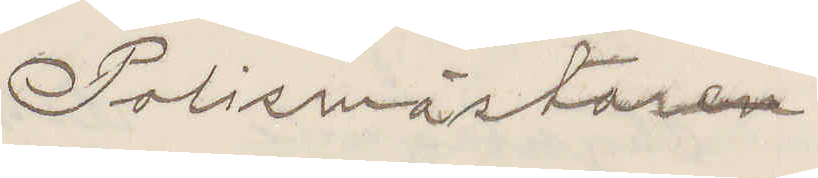Polismästaren
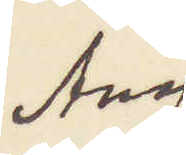Aug
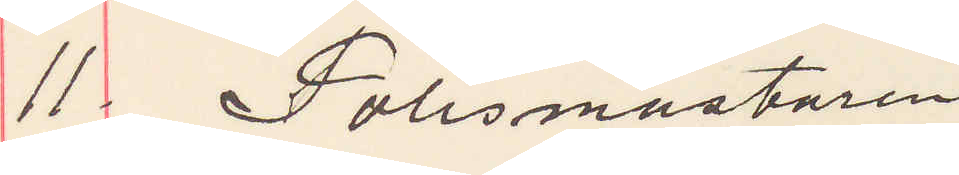11 Polismästaren
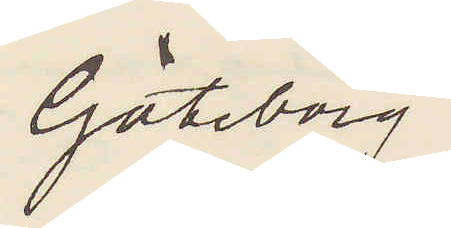Göteborg
